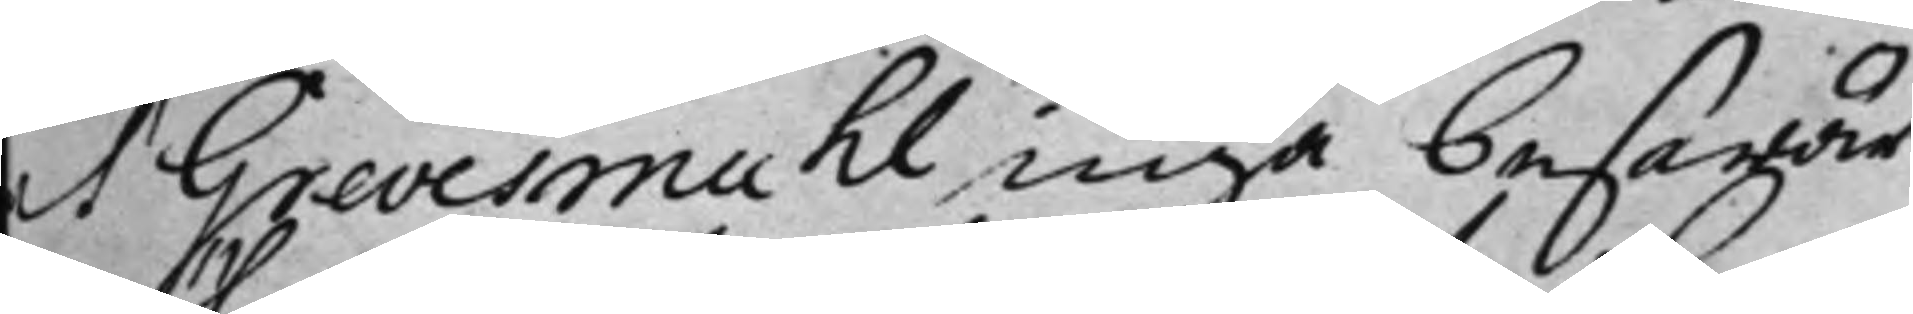at Grevesmuhl, inga beswär
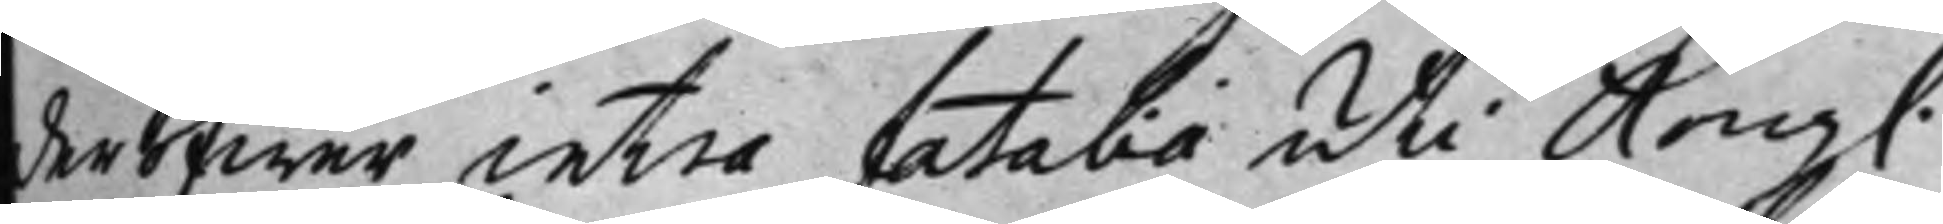deröfwer, intra fatali uti Kongl.
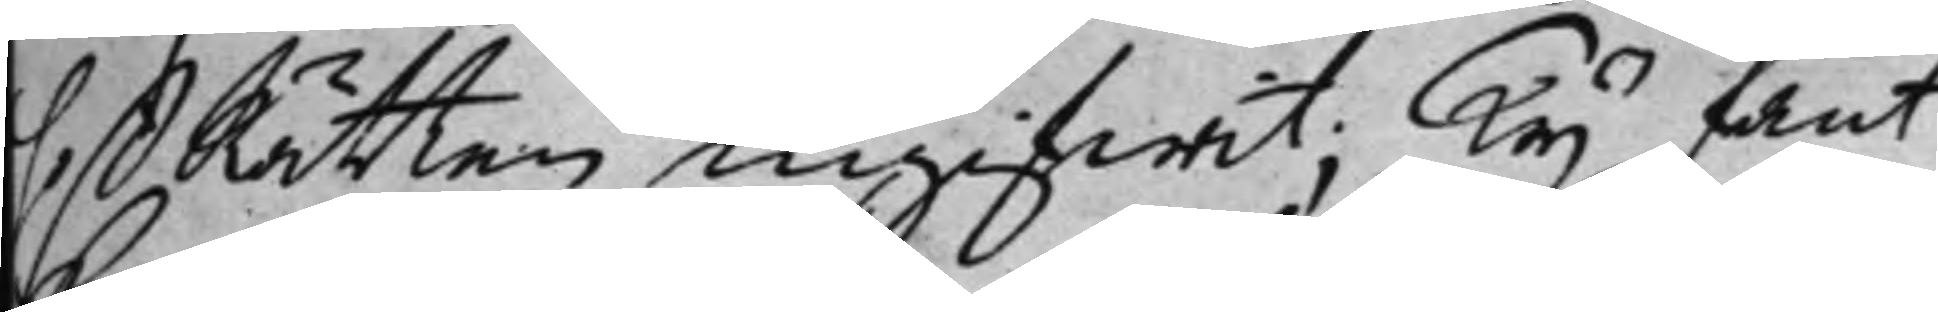HofRätten ingifwit; Ty fant
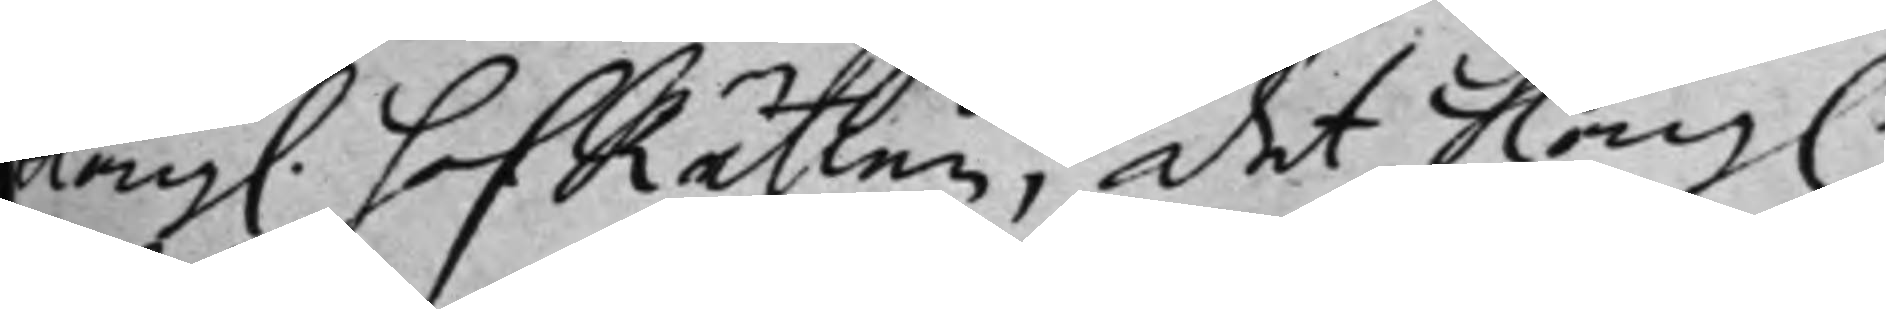Kongl. HofRätten, det Kong.
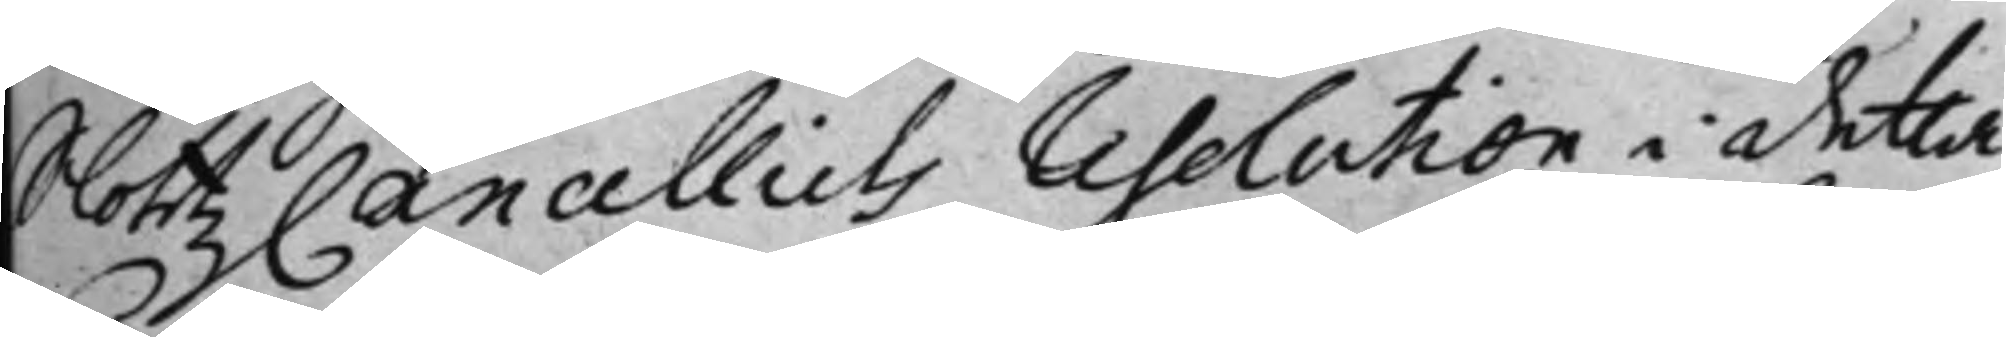SlottzCancelliets resolution i detta
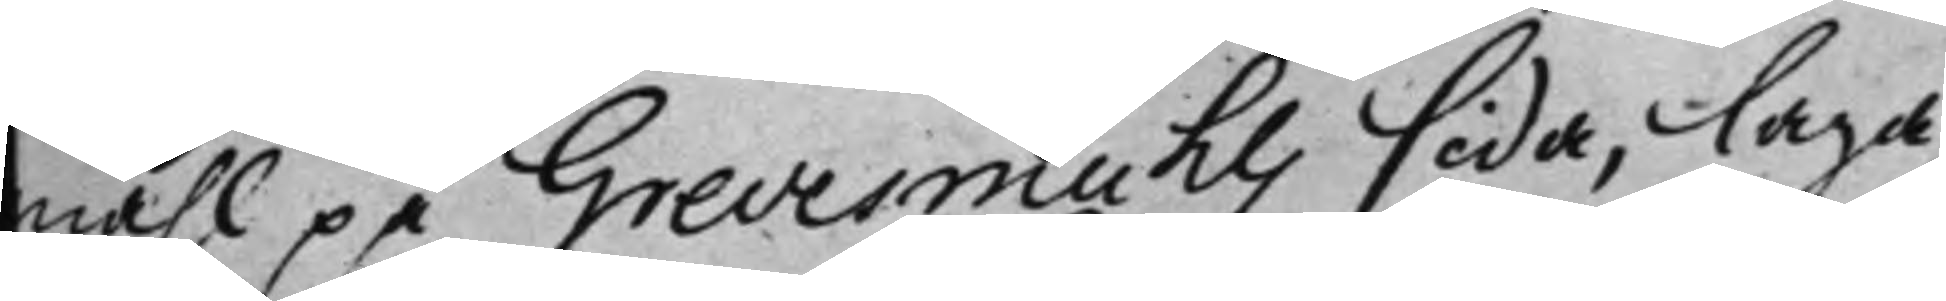måhl på Grevesmuhls sida, laga
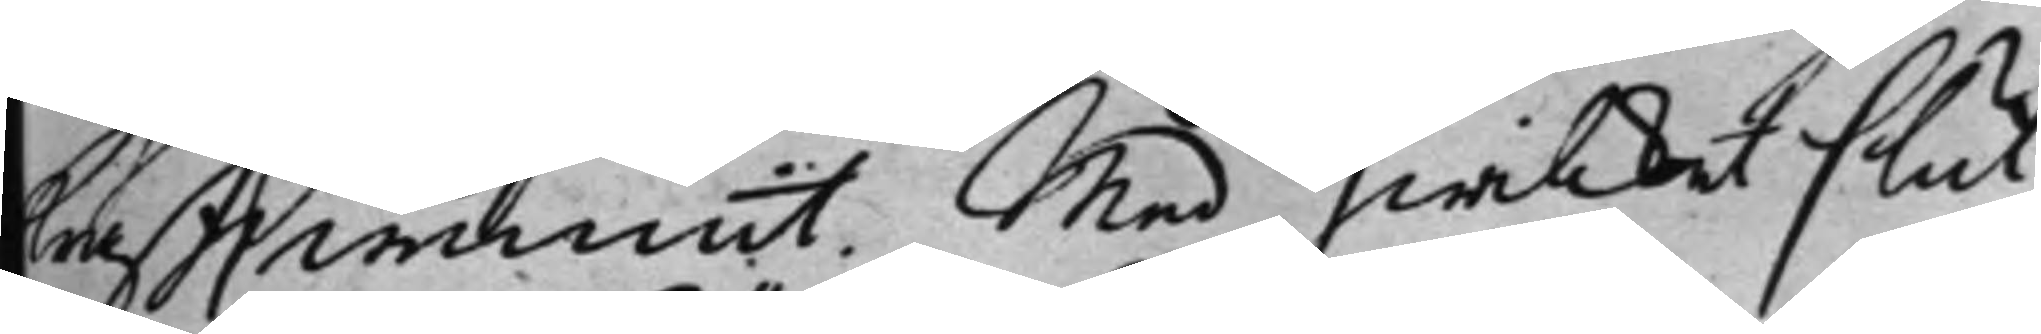hrafft wunnit. Med hwilket slut
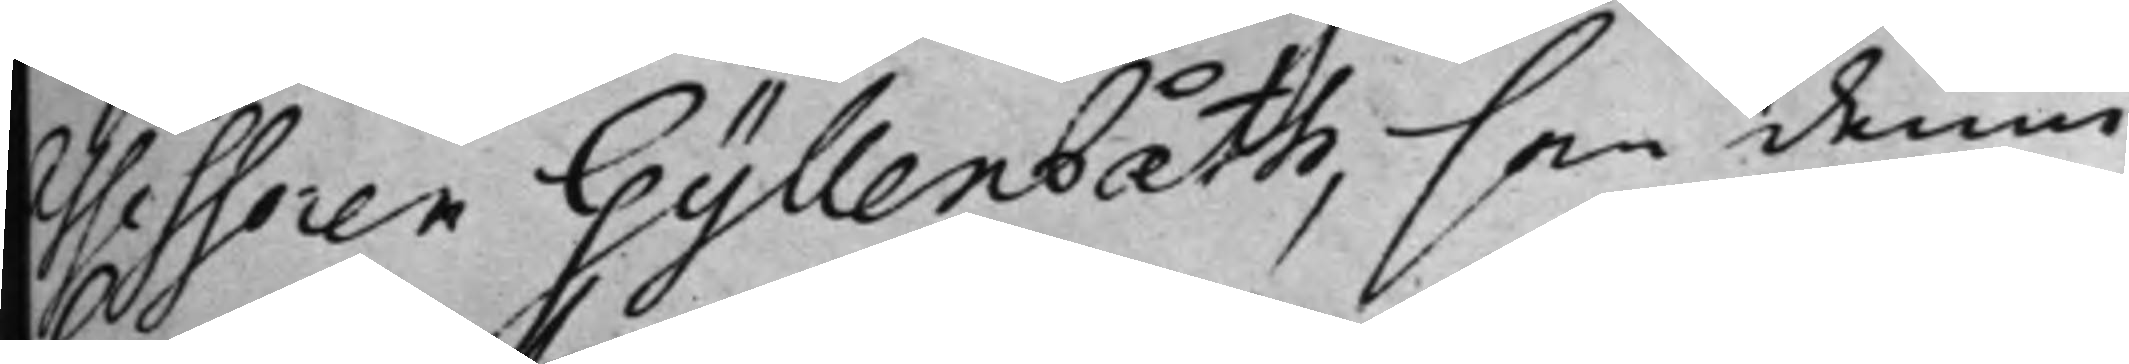Assessoren Gyllenbåth, som denne
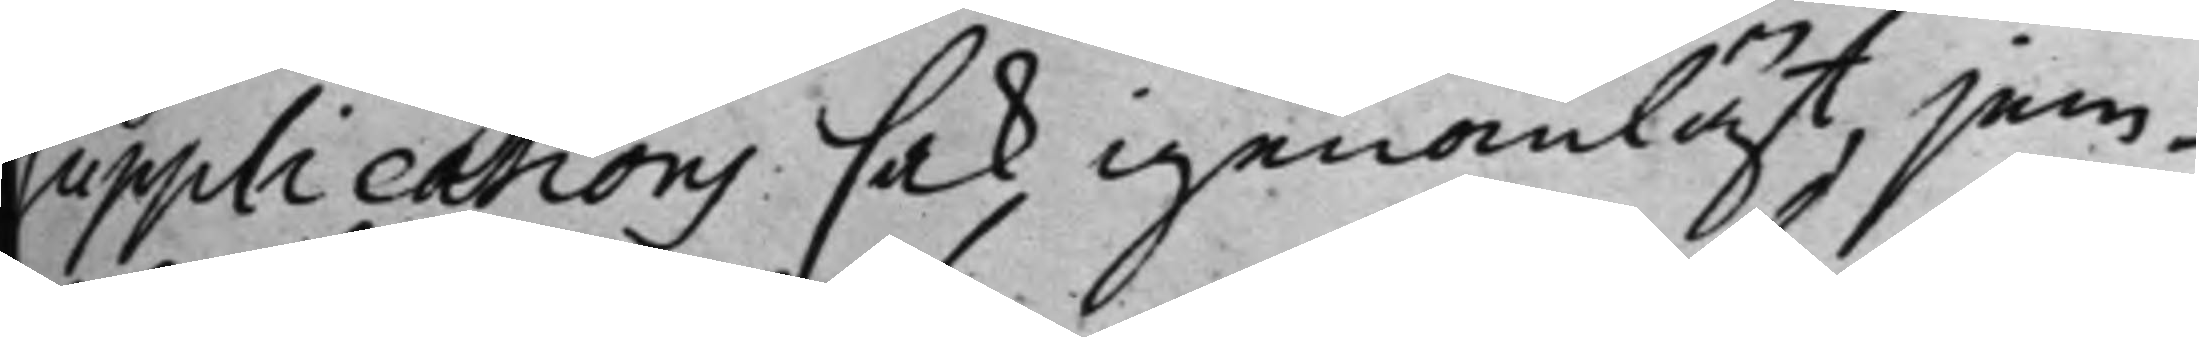Supplications sak igenomläst, jem¬
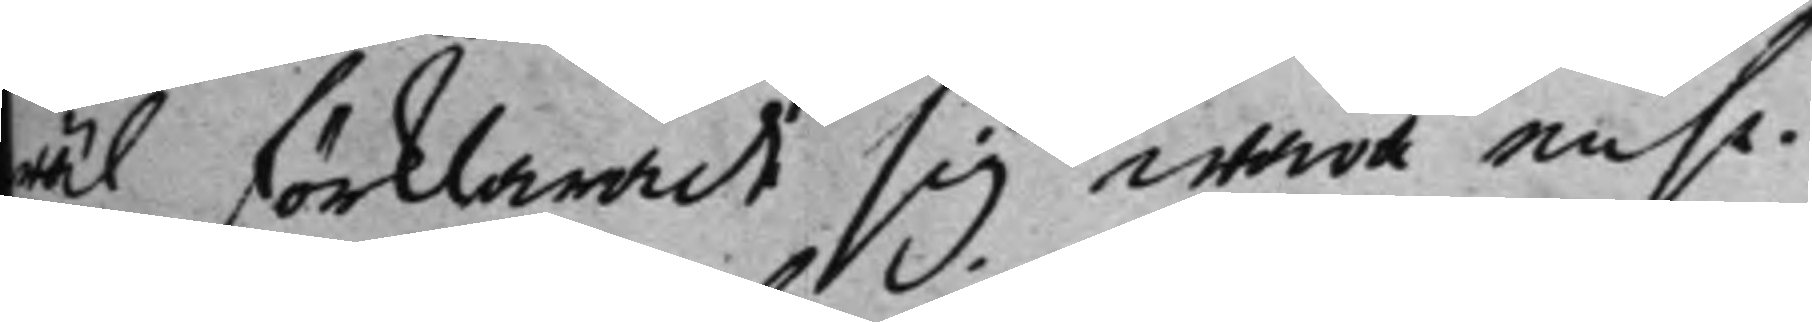wäl förklarade sig wara ense.
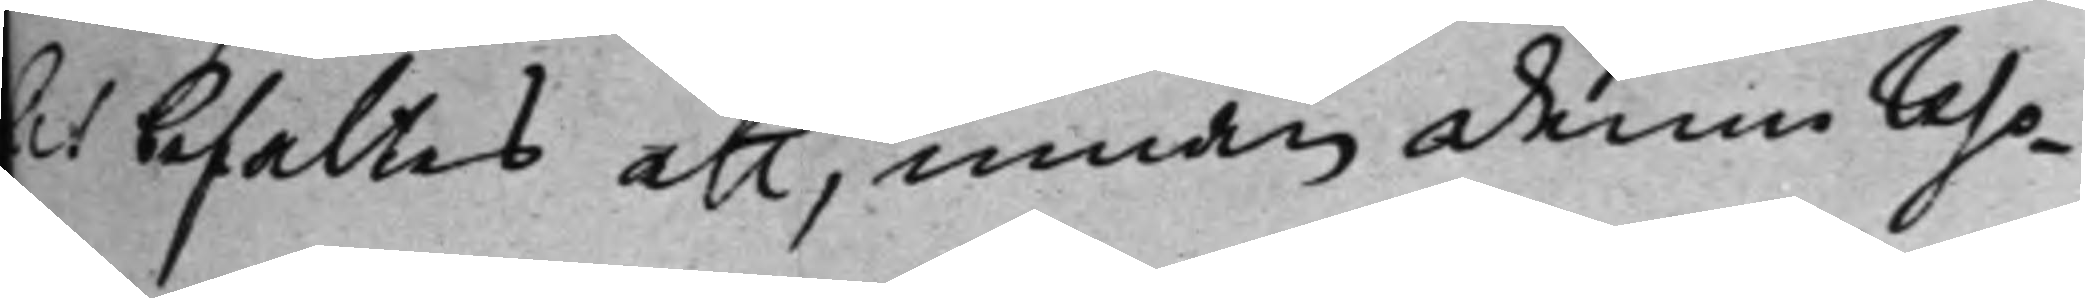det befaltes att, innan denne reso¬
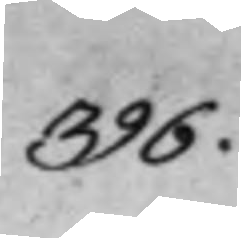396.
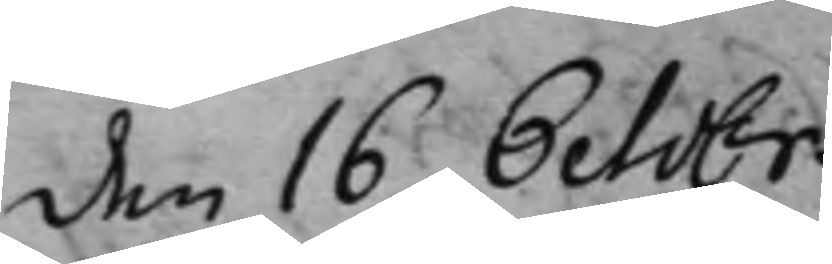den 16 Octobr.
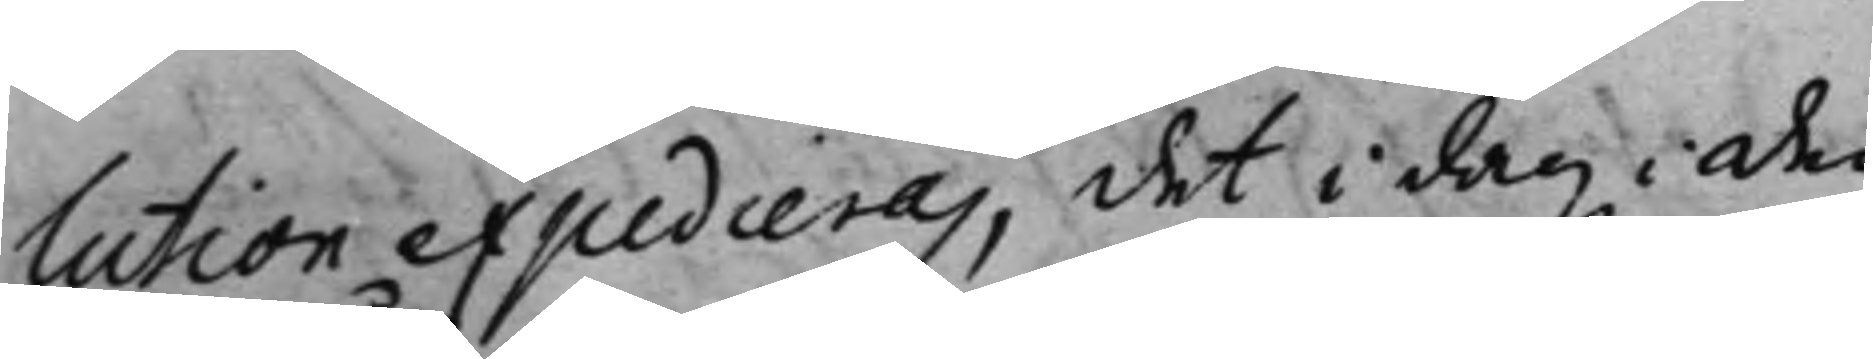lution expedieras, det i dag i den
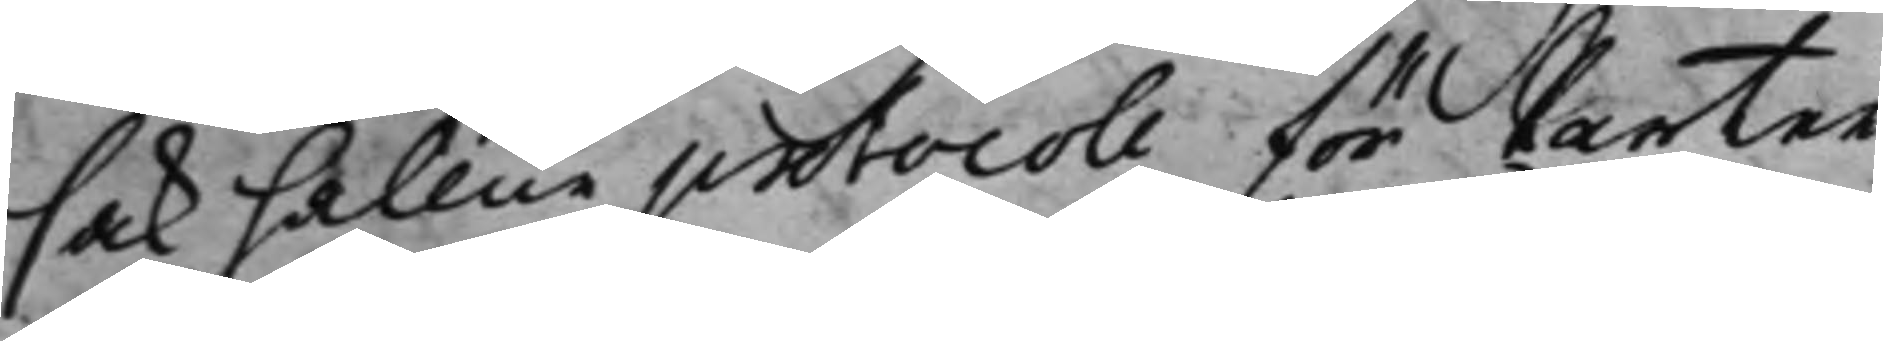sak hållne protocoll för Parter
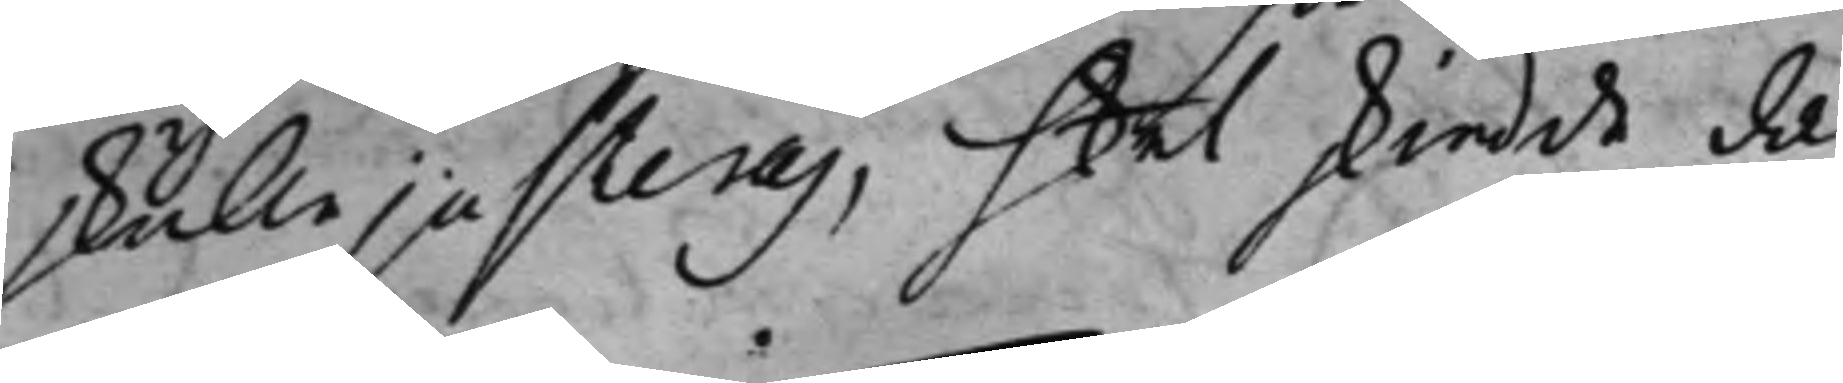skulle justeras, hel skiedde da
